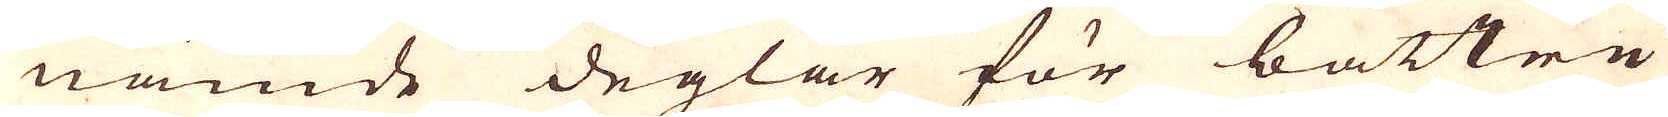nämde deglar för bättre
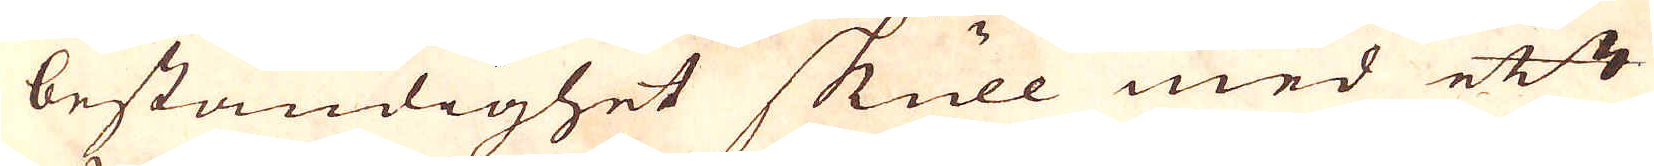beständighet skull med ett
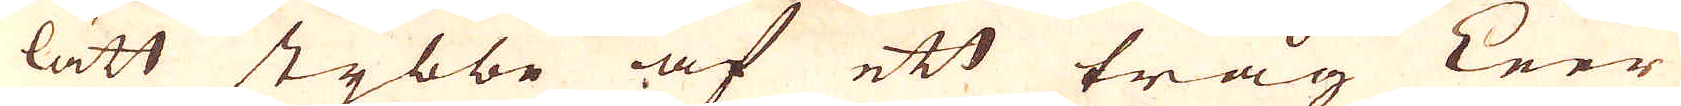lätt stybbe af ett tråg Leer
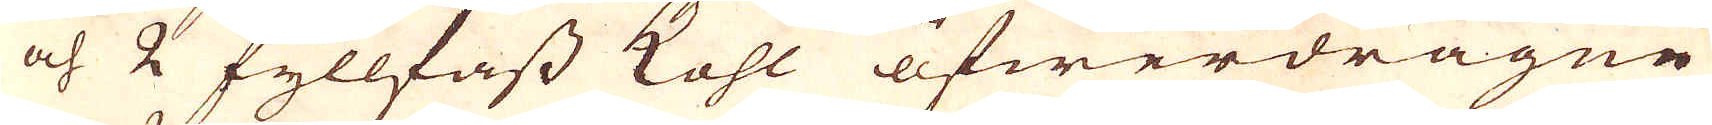och 2 fyllfass kohl öfwerdragne
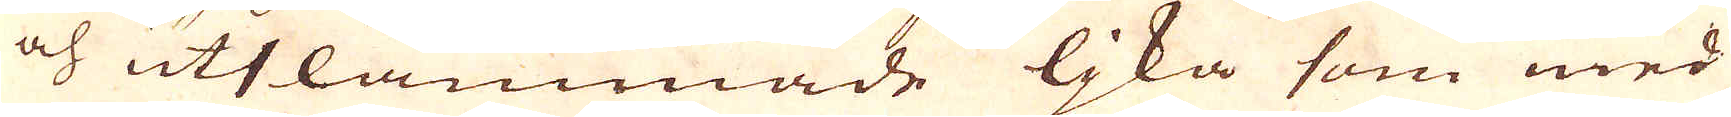och utslammade ljka som med
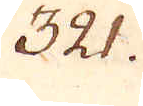321.
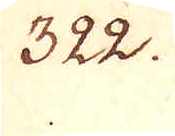322.
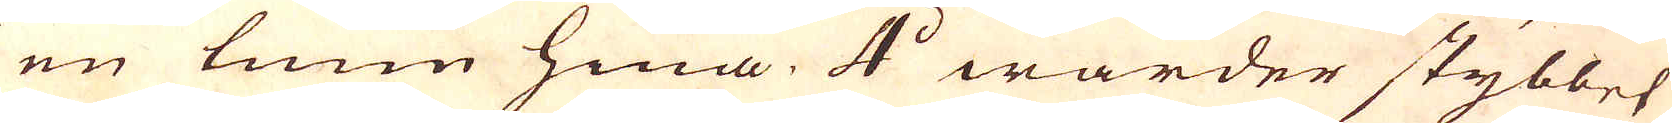en tunn hina. 4:o warder stybbet
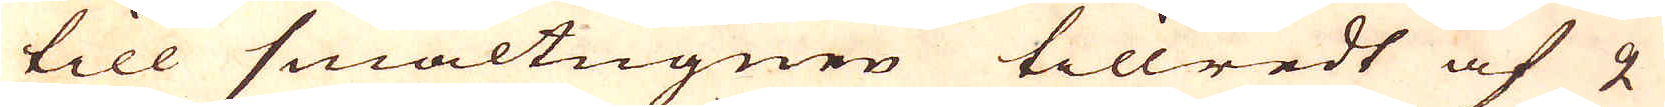till smältugnen tillredt af 2
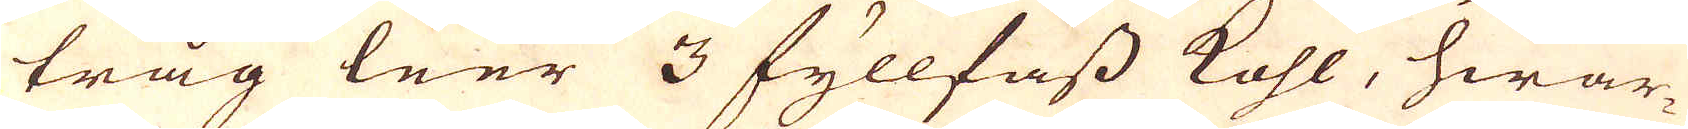tråg leer 3 fyllfass kohl, hwar-
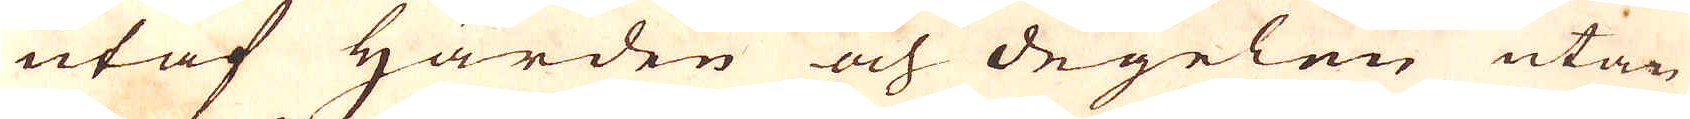utaf Härden och degelen utan
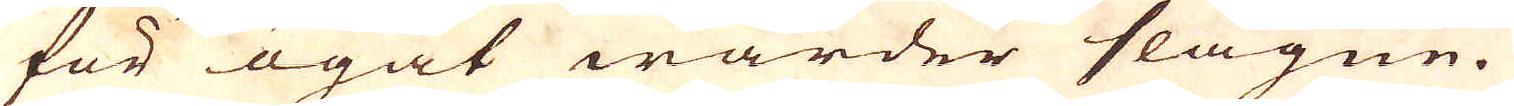för ögat warder slagne.
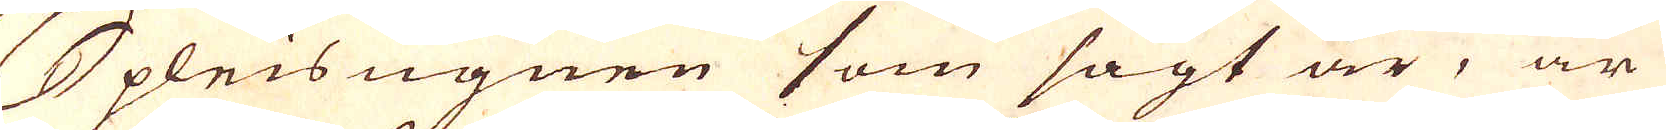Spleis ugnen som sagt är, är
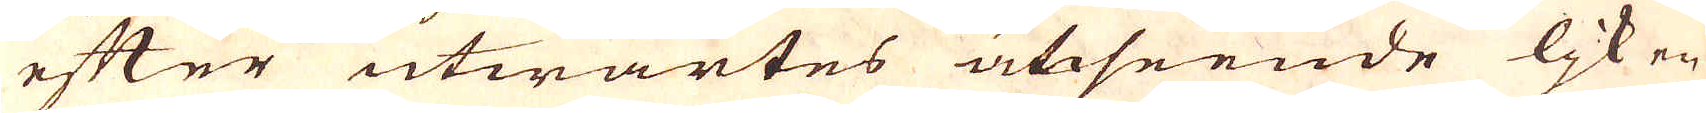efter utwärtes utseende ljk en
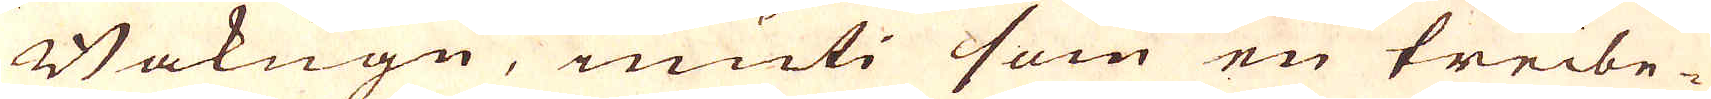Bakugn, inuti som en treibe-
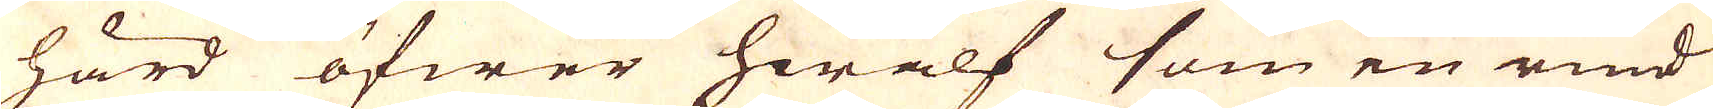härd öfwer hwalf som en rund
